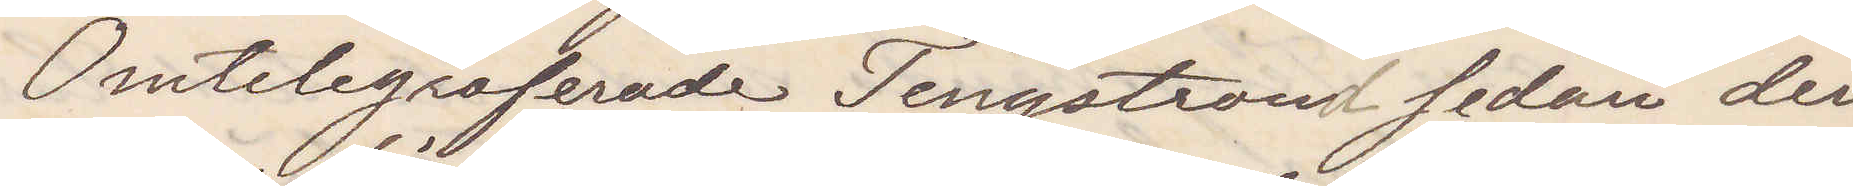Omtelegraferade Tengstrand sedan den
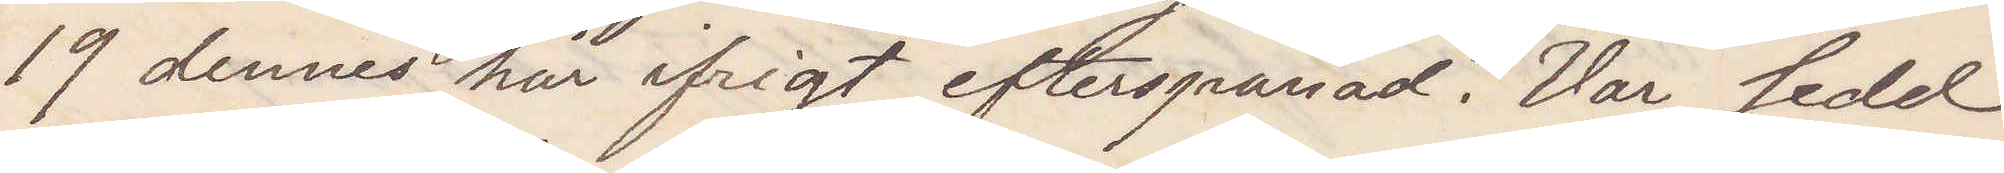19 dennes här ifrigt efterspanad. Var sedd
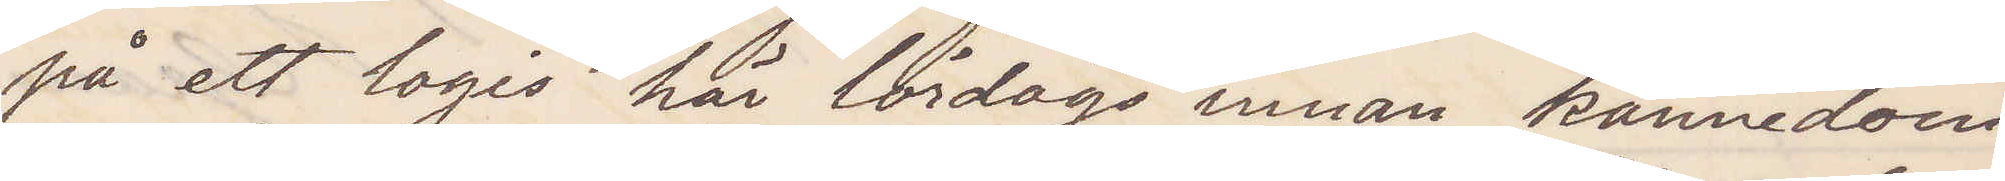på ett logis här lördag innan kännedom
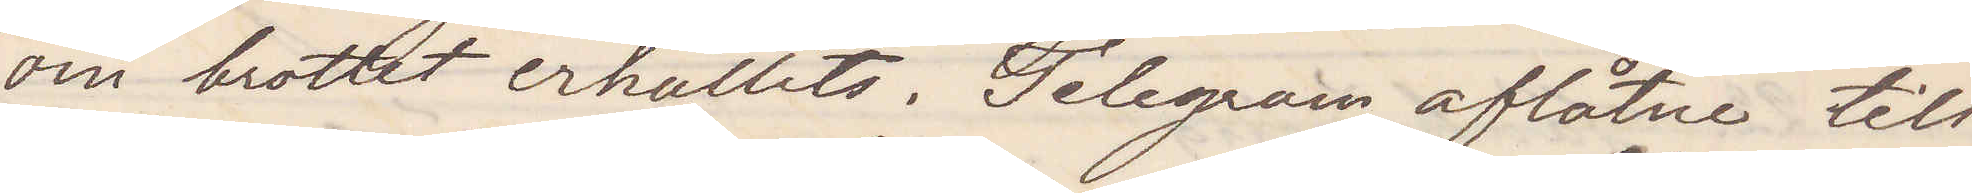om brottet erhållits. Telegram aflåtne till
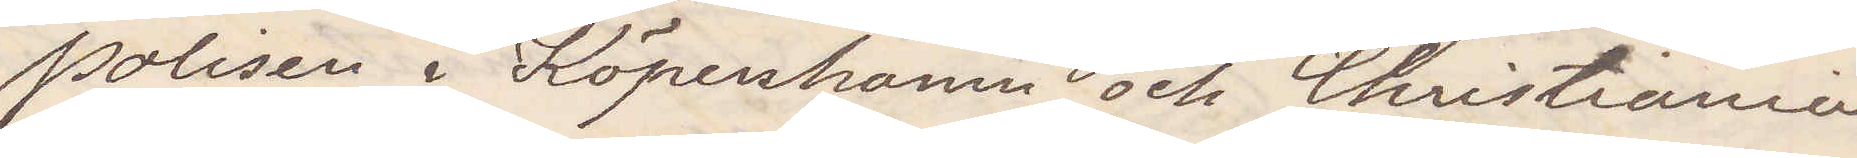polisen i Köpenhamn och Christiania
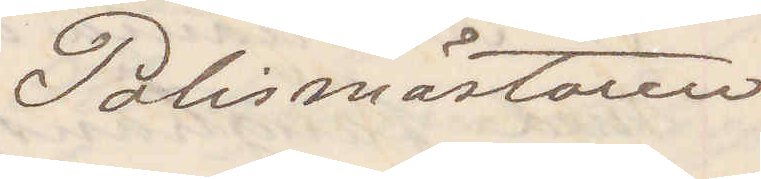Polismästaren
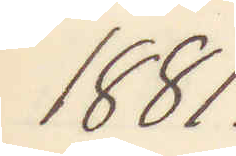1881.
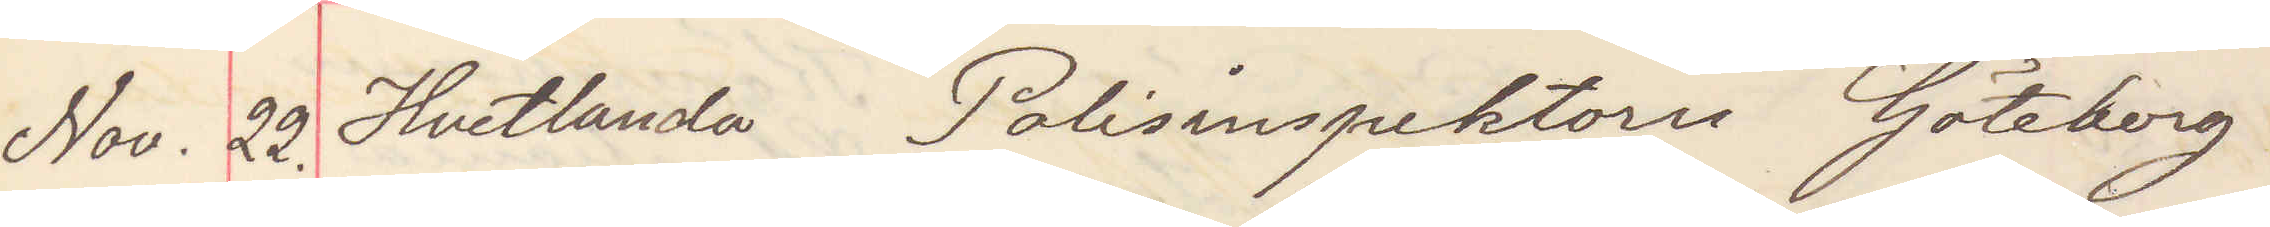Nov. 22. Hvetlanda Polisinspektorn Göteborg.
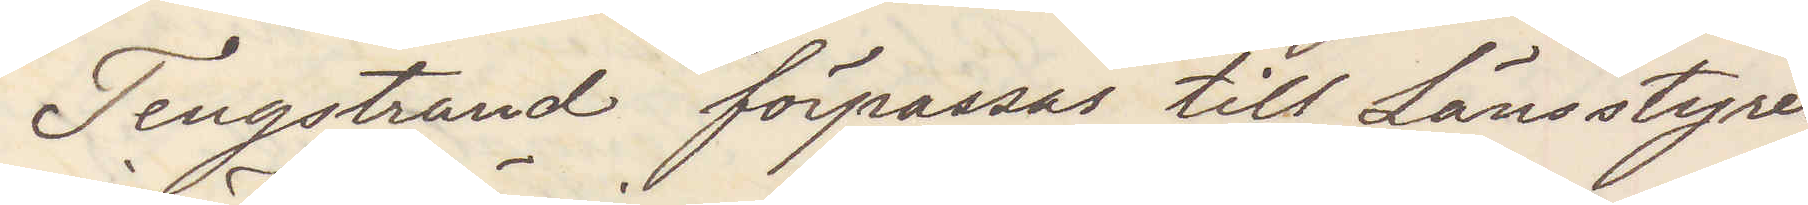Tingstrand förpassas till Länsstyrel¬
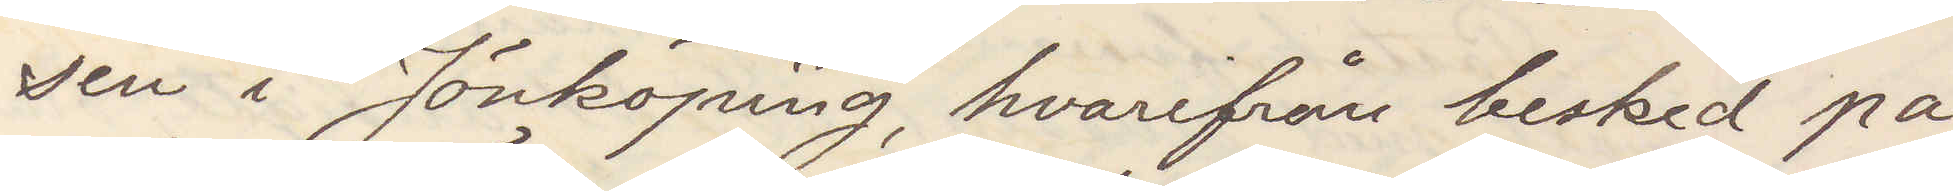sen i Jönköping, hvarifrån besked på
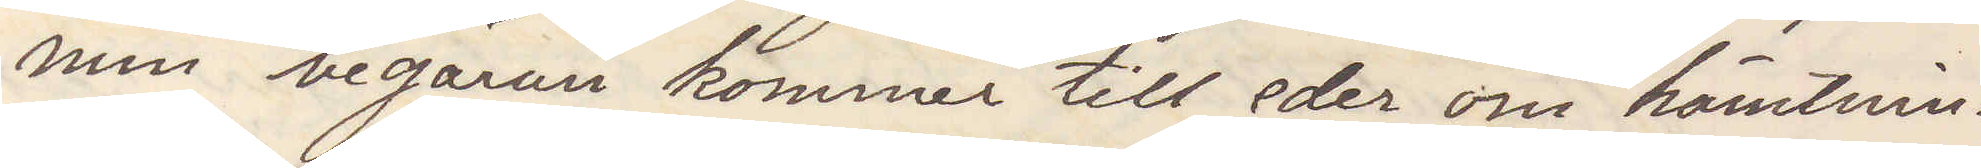min begäran kommer till eder om hämtnin¬
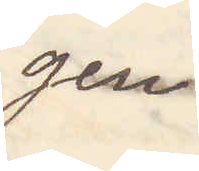gen.
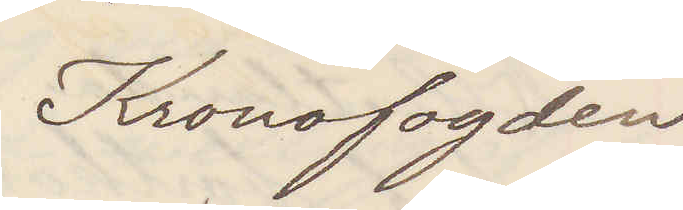Kronofogden
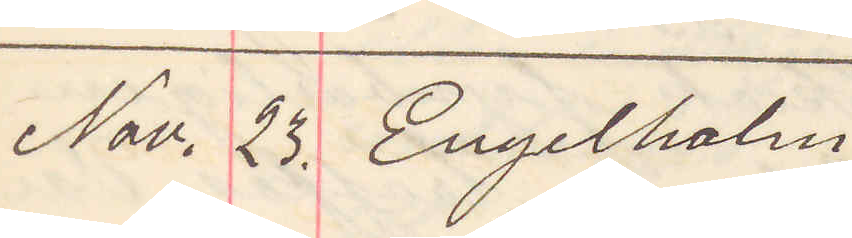Nov. 23. Engelholm
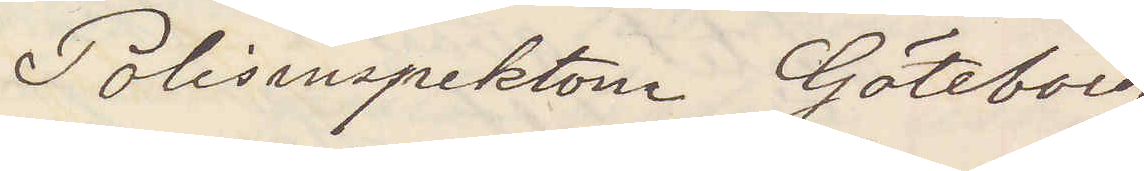Polisinspektorn Göteborg
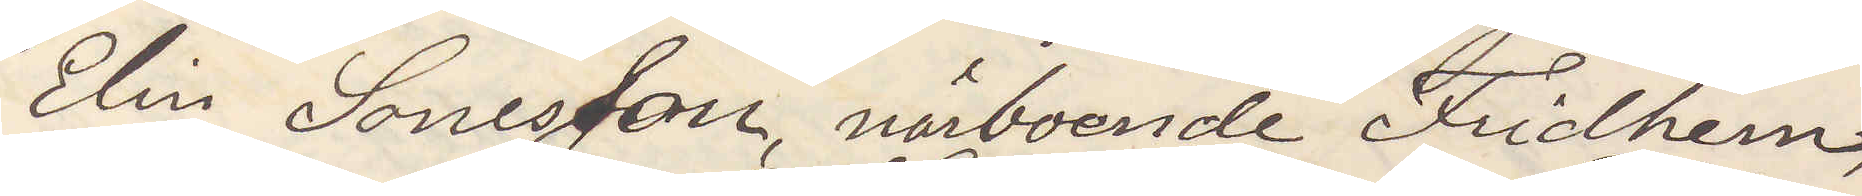Elin Sonesson närboende Fridhem
